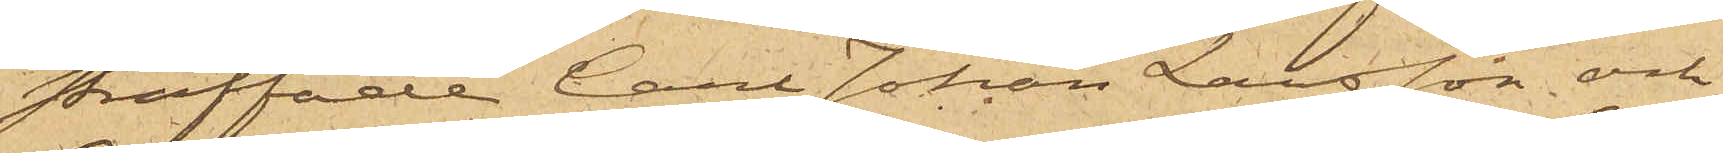straffade Carl Johan Larsson och
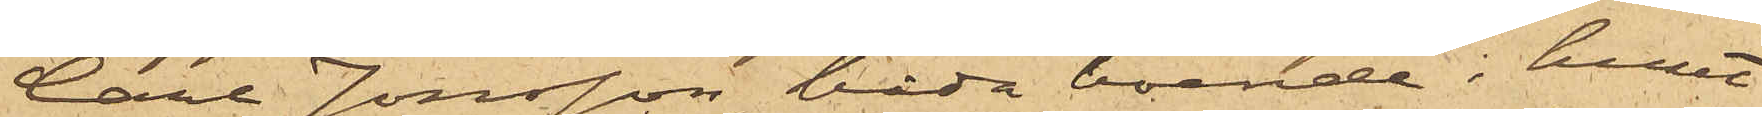Carl Jonsson, båda boende i huset
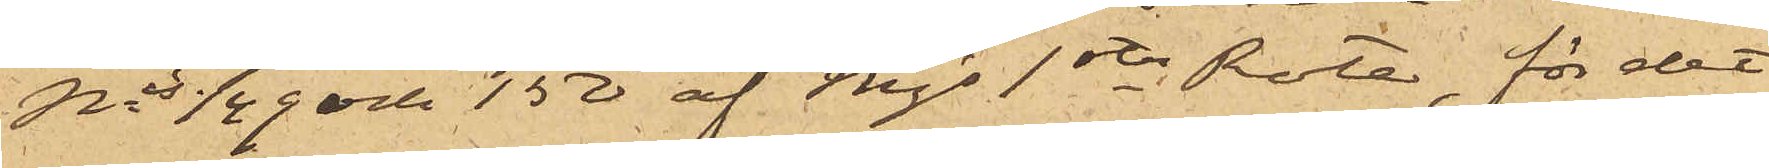Nris 149 och 150 af Mjs 1sta Rote, för det
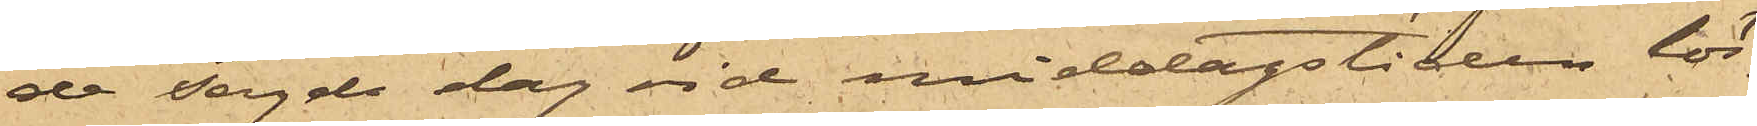de sagde dag vid middagstiden lös¬
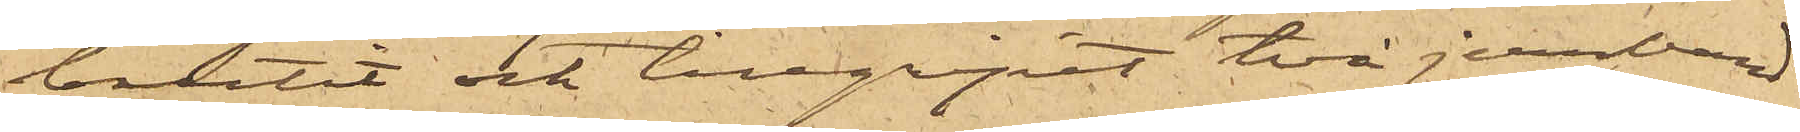brutit och tillgripit två jernband
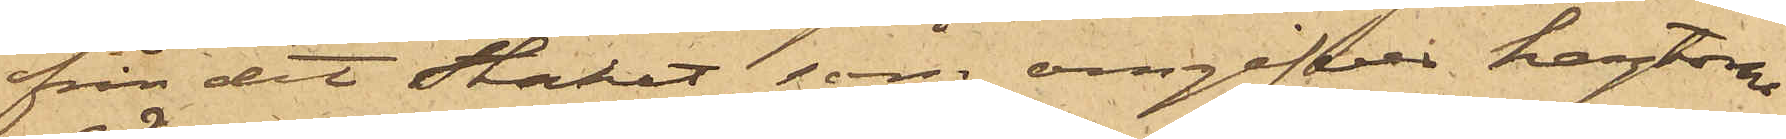från det staket, som omgifver hagtorns¬
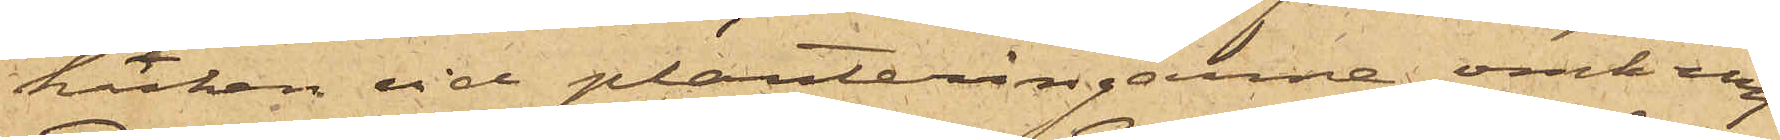häcken vid planteringarne omkring
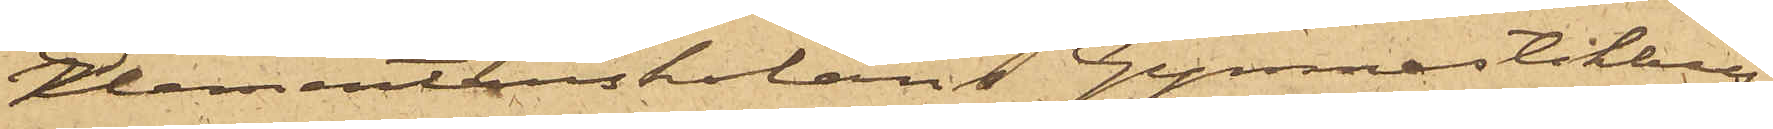Elementarskolans Gymnastikhus.
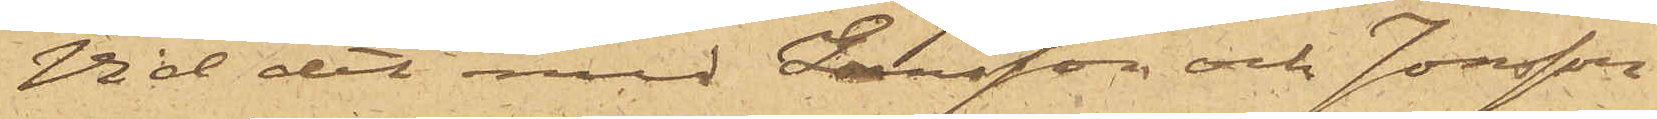Vid det med Larsson och Jonsson
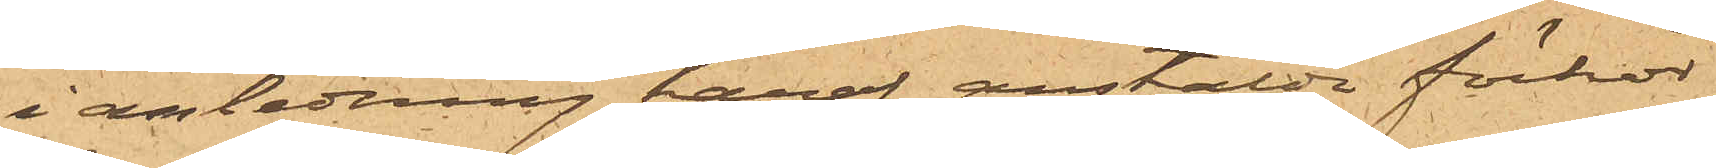i anledning häraf anstälda förhör,
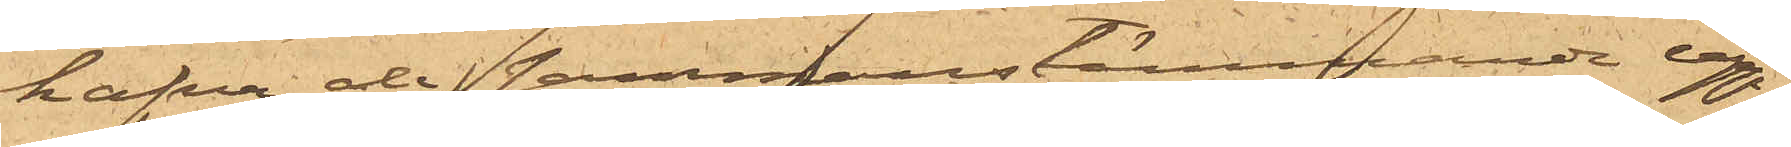hafva de sammanstämmande upp¬
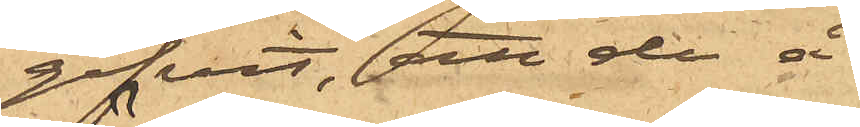gifvit, att de å
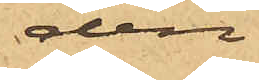den
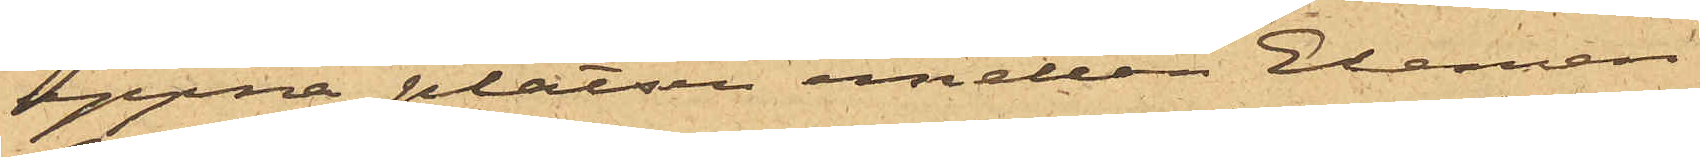öppna platsen emellan Elemen¬
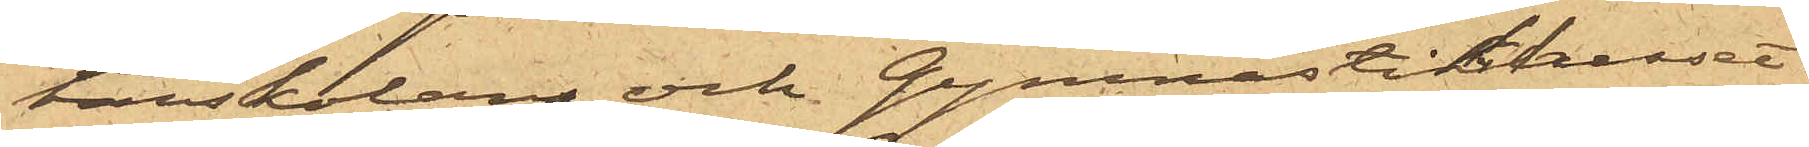tarskolan och Gymnastikhuset
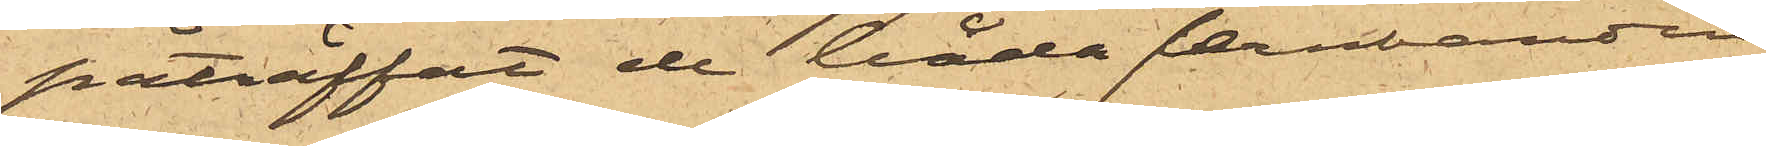påträffat de båda jernbanden
